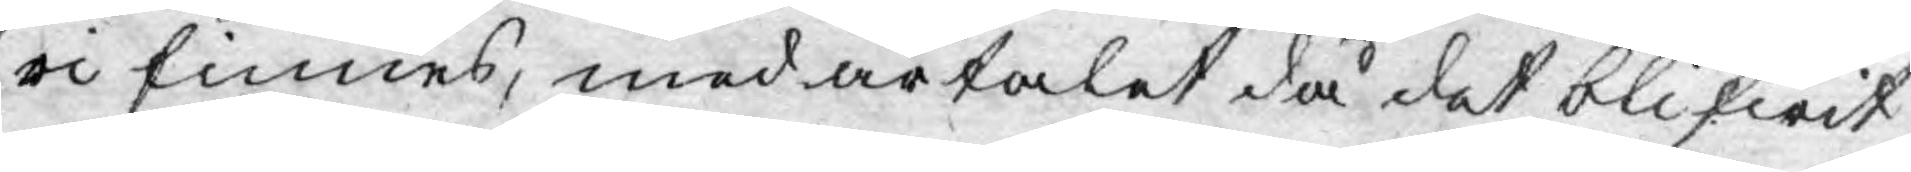ri finnes, med årtalet då det blifwit
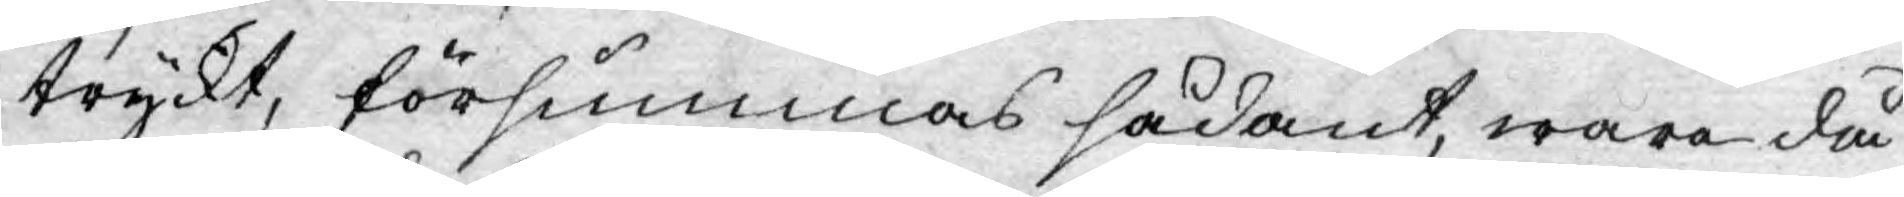tryckt, försummas sådant, wara då
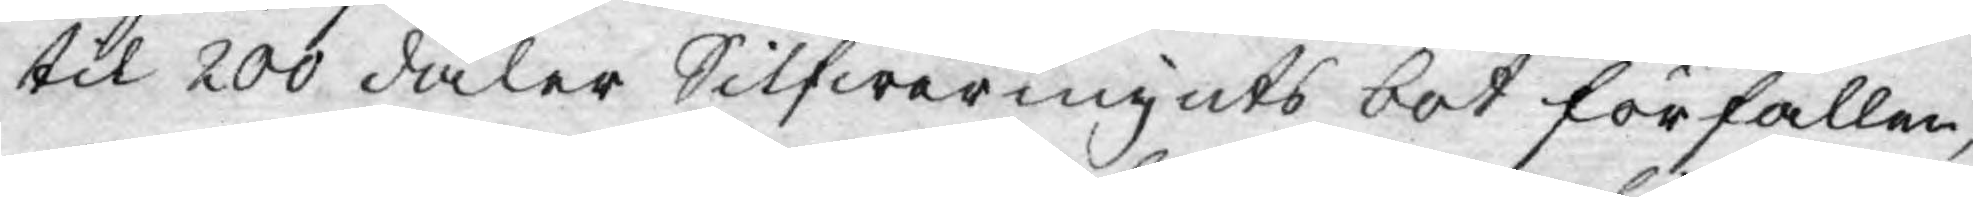til 200 daler Silfwermynts bot förfallen,
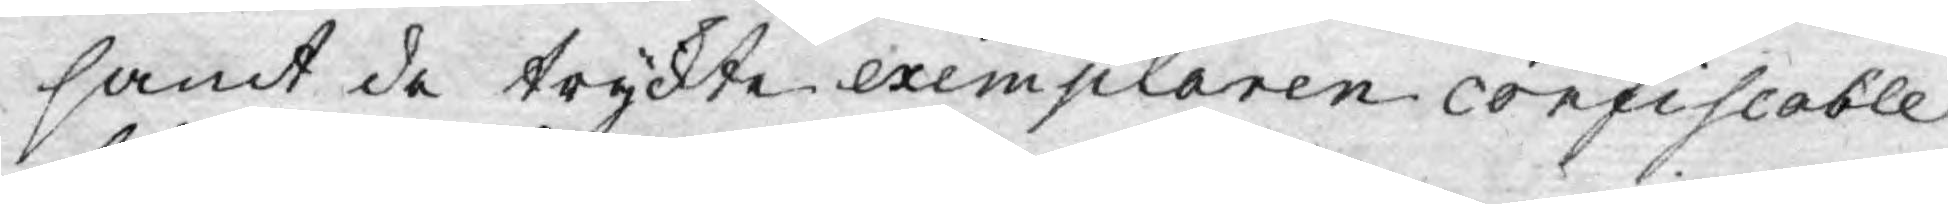samt de tryckte exemplaren confiscable
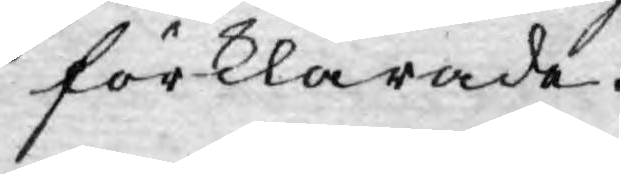förklarade.
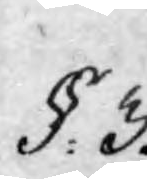§. 3.
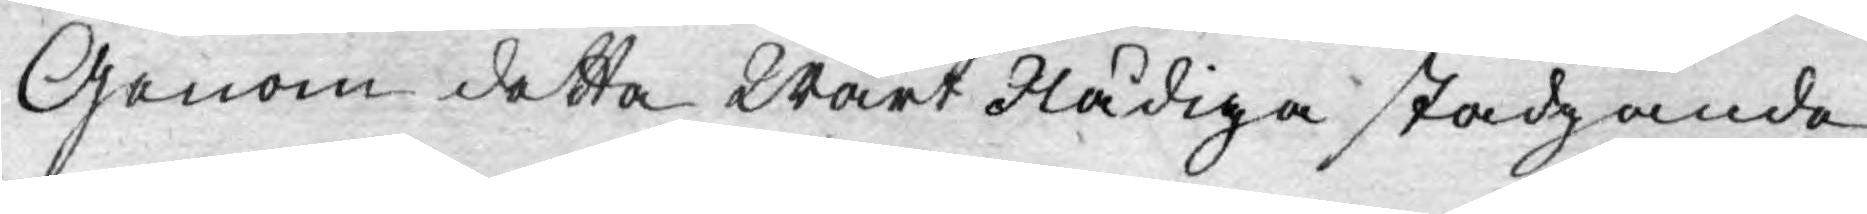Genom detta Wårt Nådiga stadgande
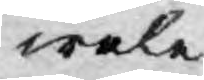wele
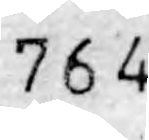764
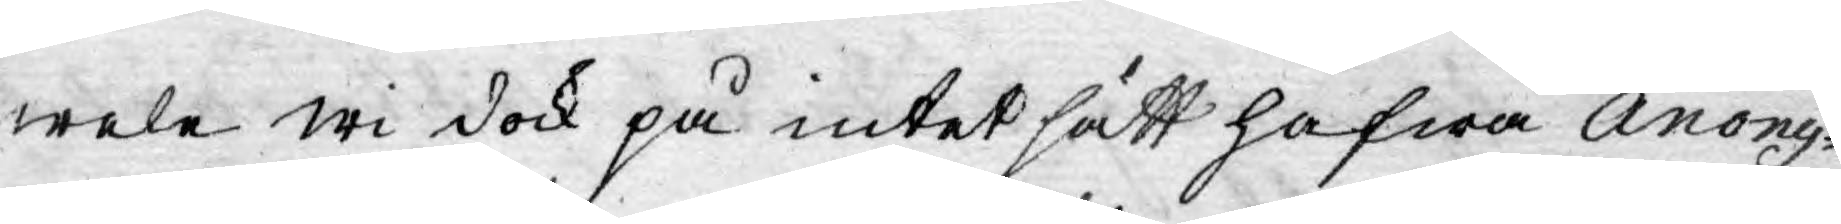wele wi dock på intet sätt hafwa Anony¬
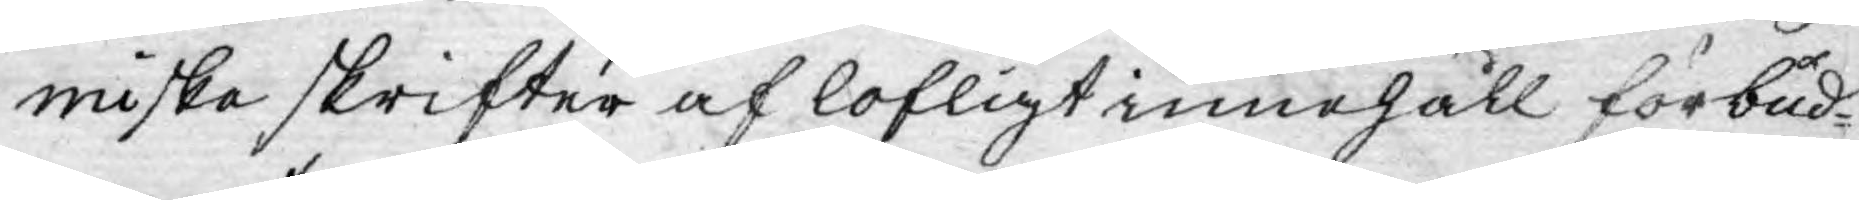miske skrifter af lofligt innehåll förbud¬
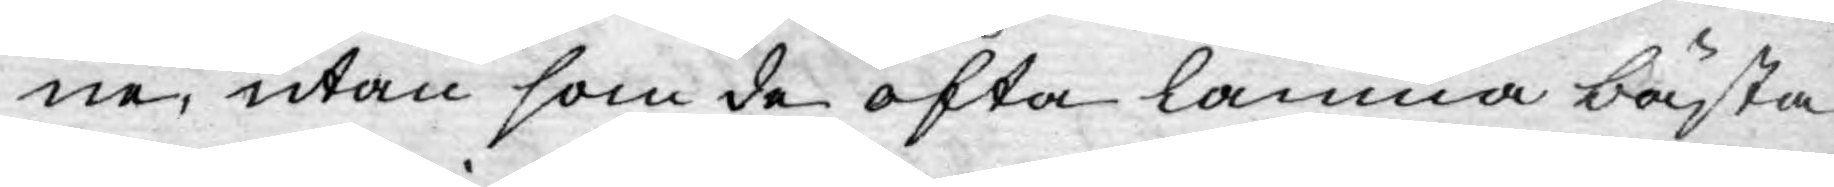ne, utan som de ofta lämna bästa
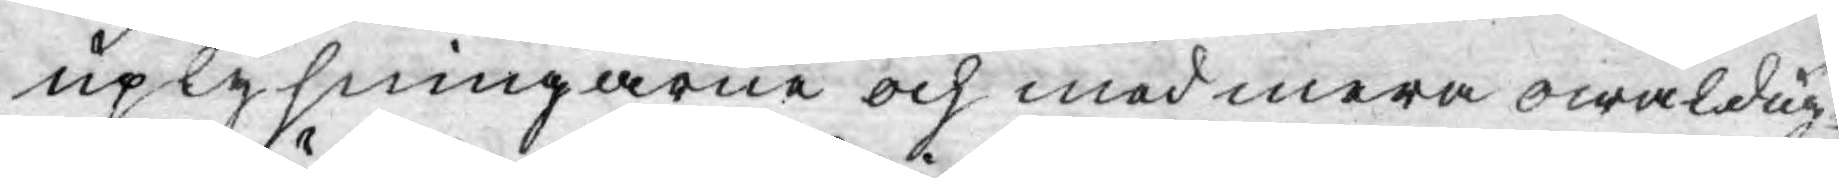uplysningarne och med mera owäldug¬
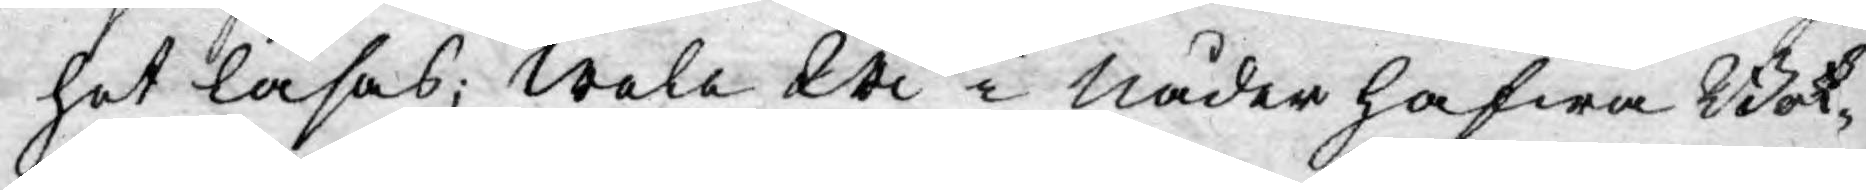het läsas; wela Wi i nåder hafwa Bok¬
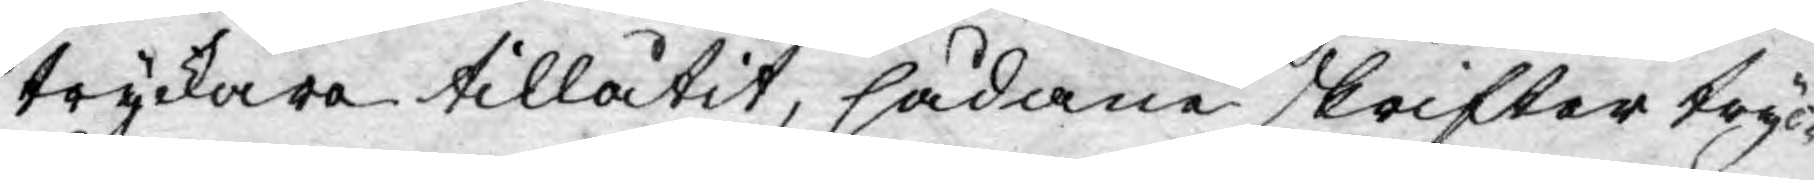tryckare tillåtit, sådane skrifter tryc¬
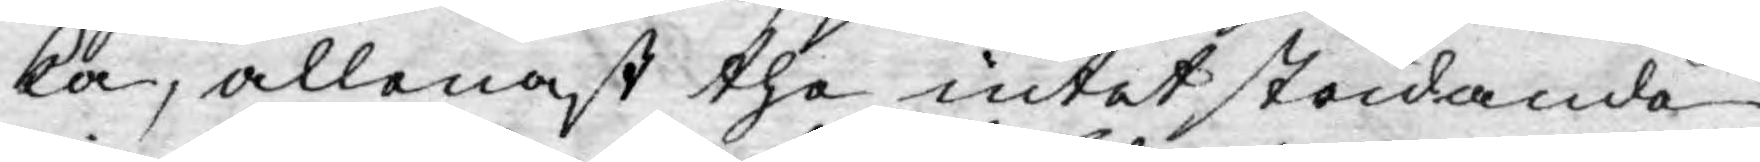ka, allenast the intet stridande
